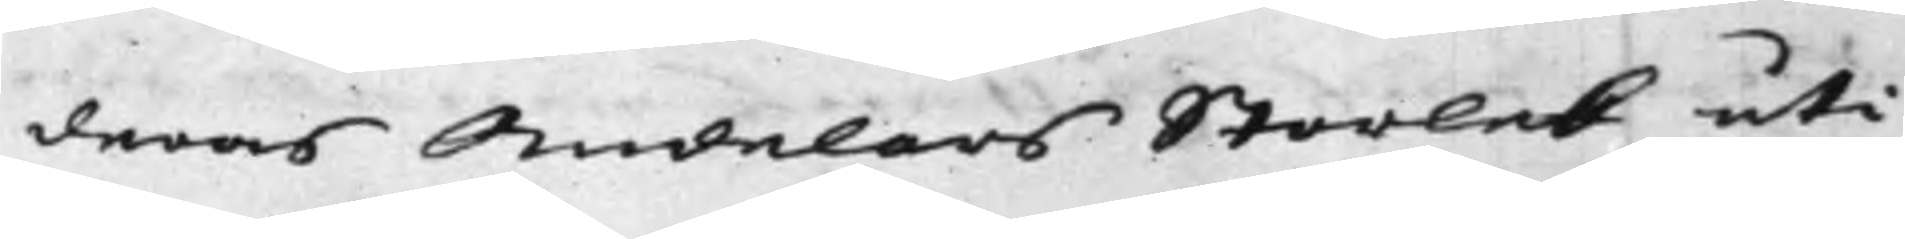deras Andelars Storlek uti
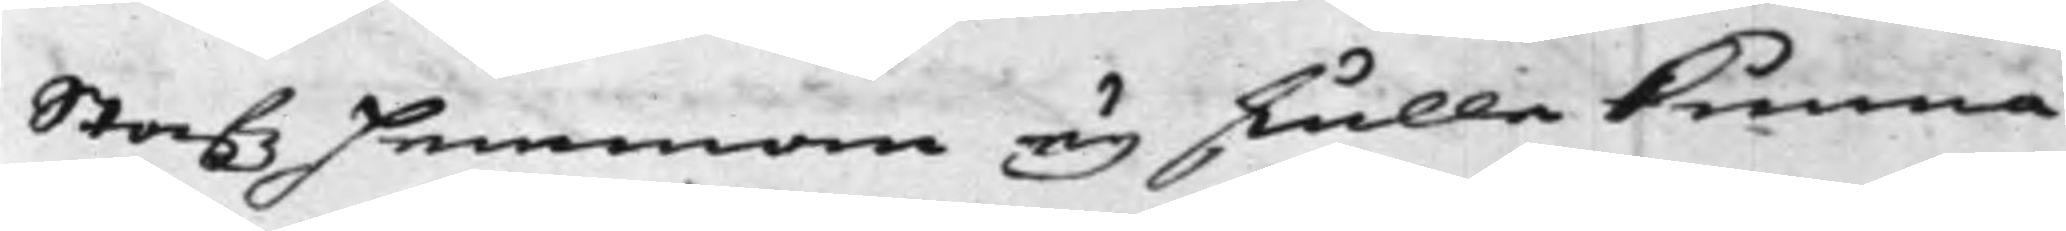Stafz Hemman ey skulle kunna
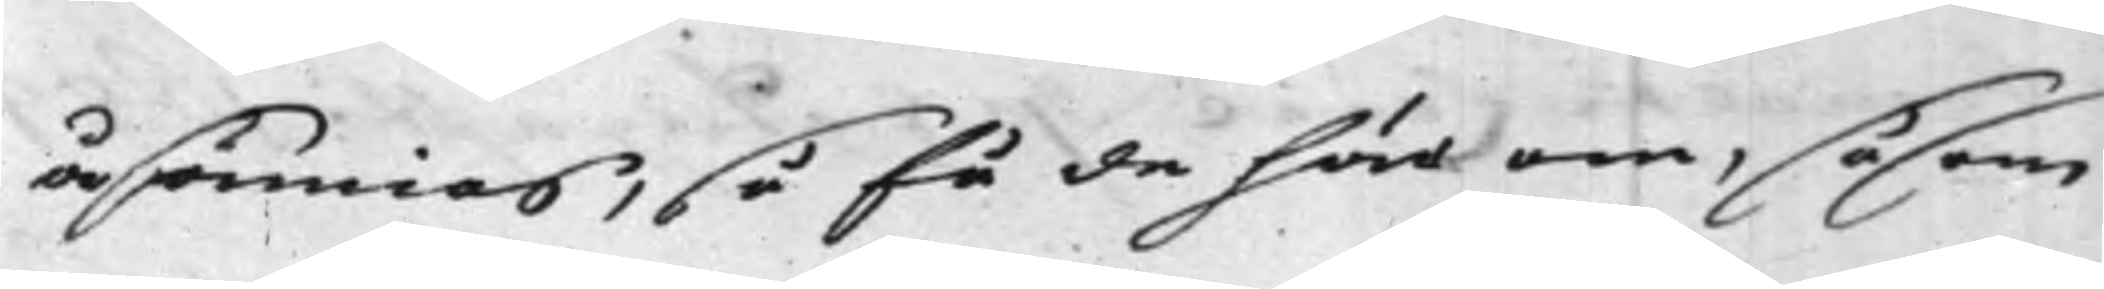åsämias, så få de här om, såsom
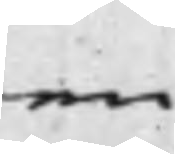en
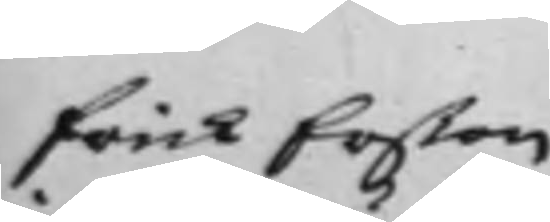Erik Erßon
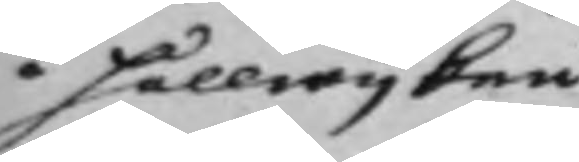i Hällwijken
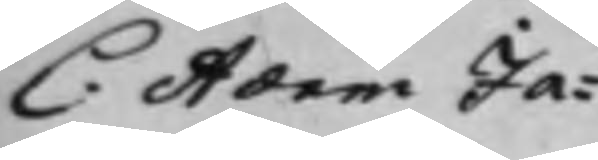C. Adam Ja¬
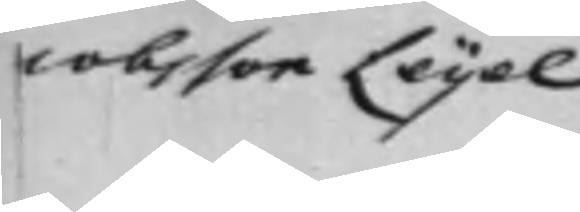cobsson Leijel
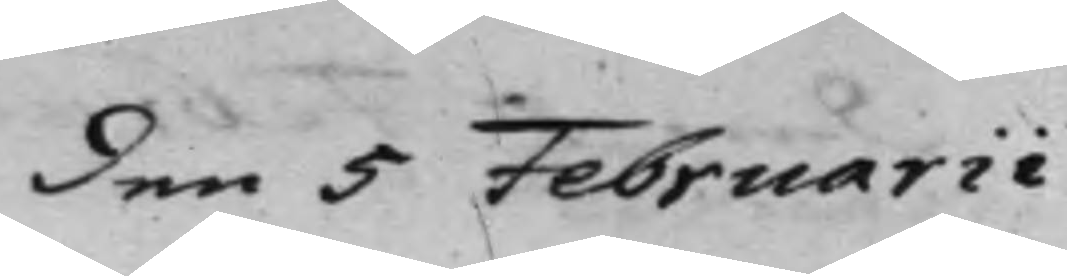den 5 Februarii
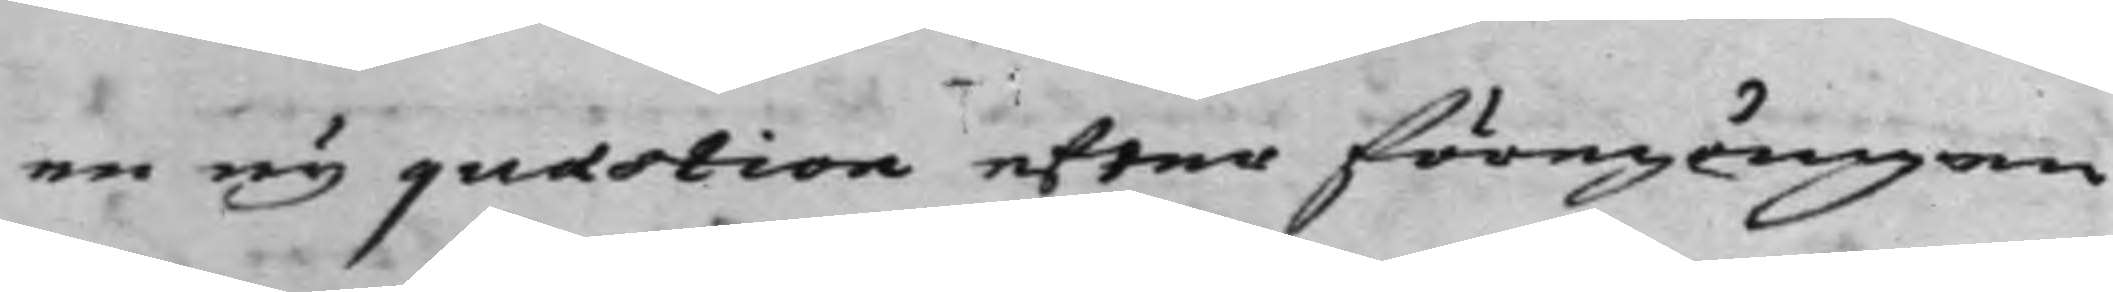en ny quaestion efter föregången
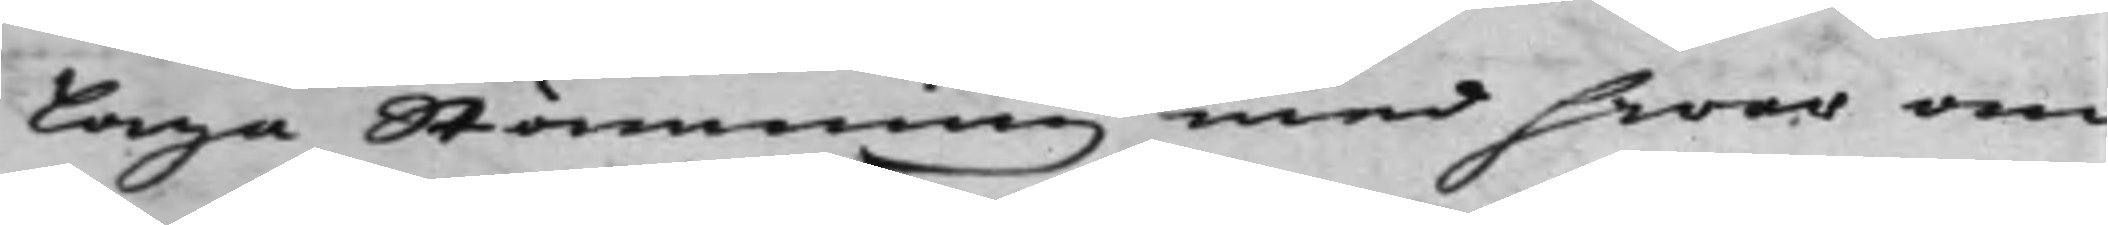Laga Stämning med hwar an¬
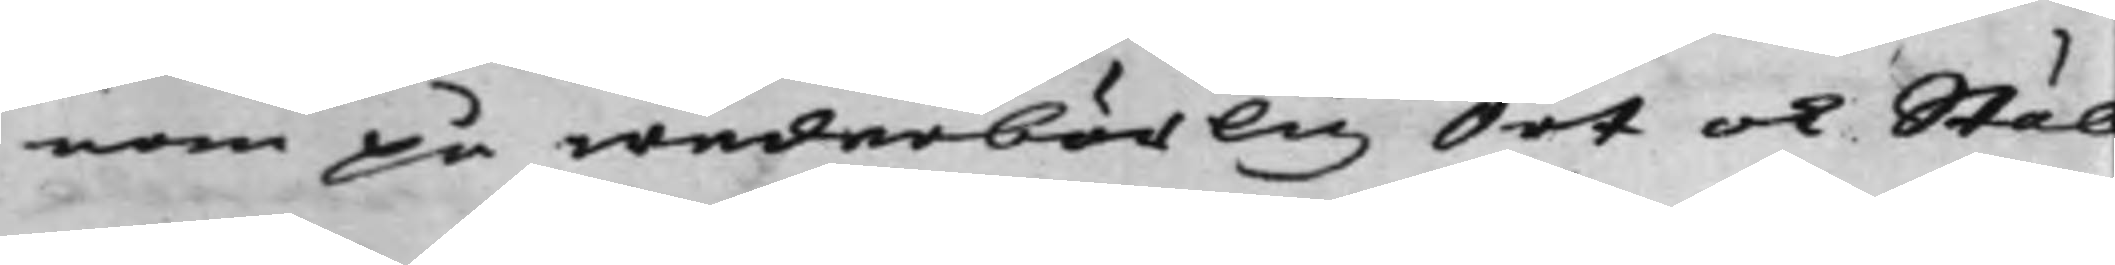nan på wederbörlig Ort och Stäl
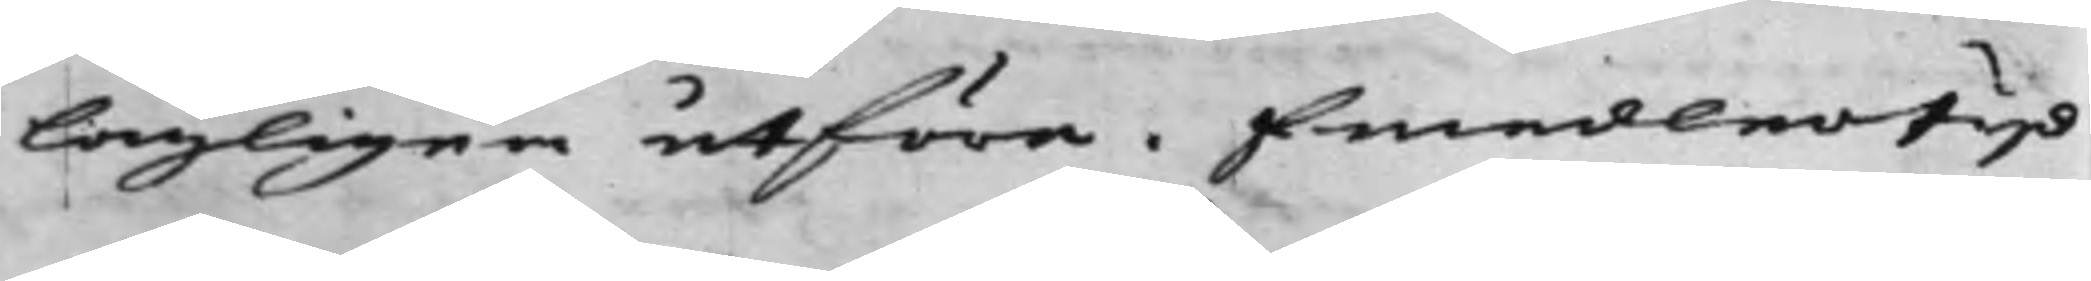lagligen utföra. Emedlertijd
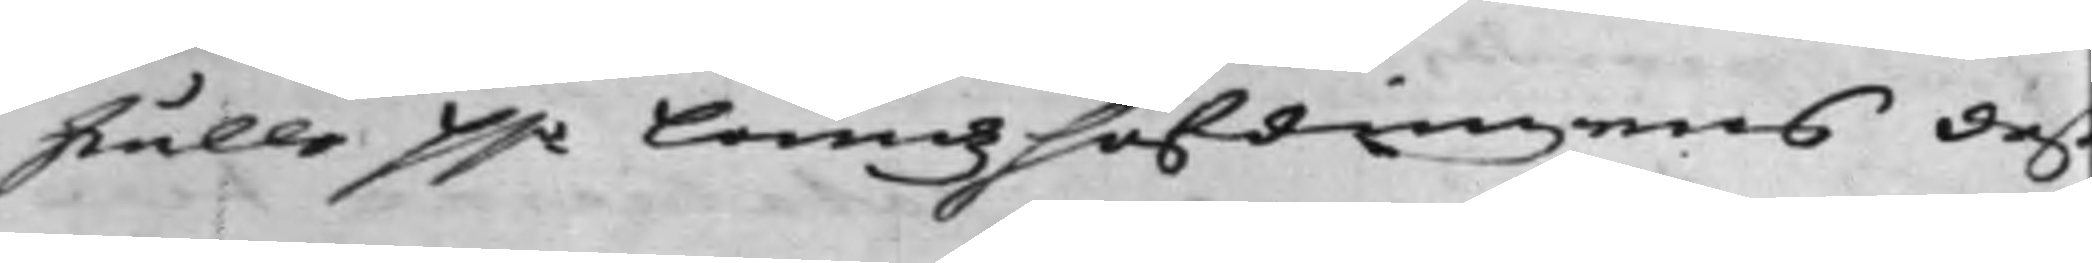skulle H.r Landzhöfdingens deß
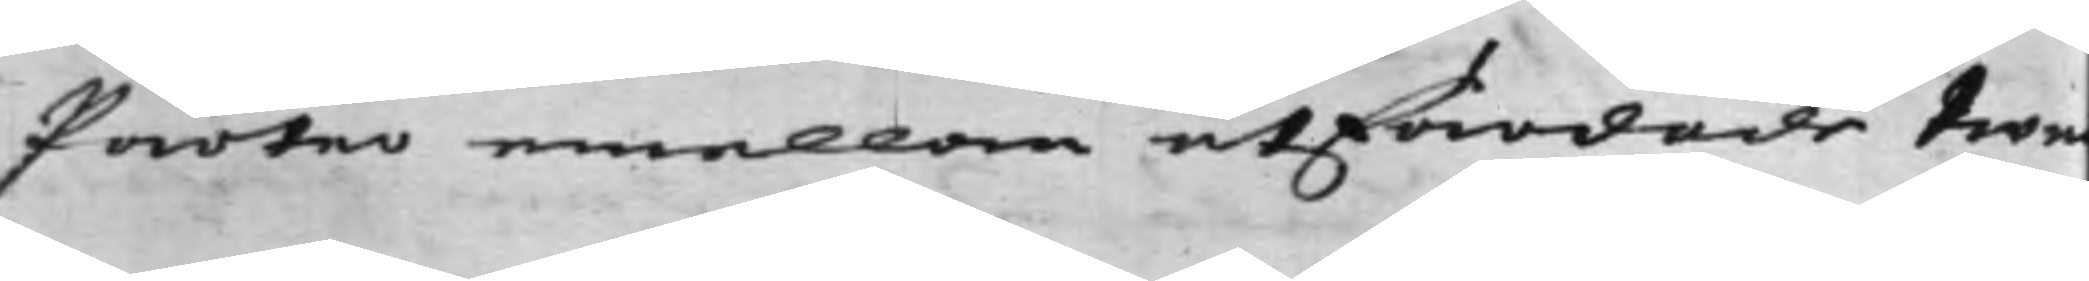Parter emellan utfärdade twe¬
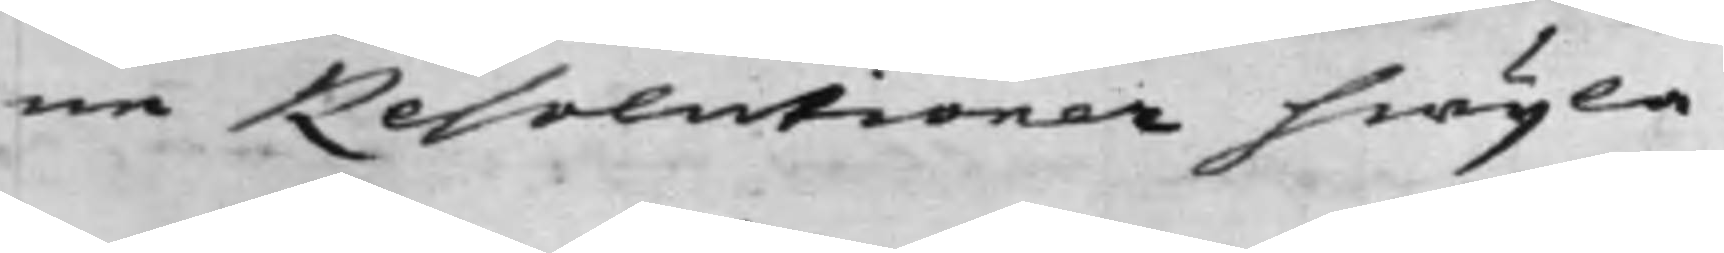ne Resolutionerna hwijla.
